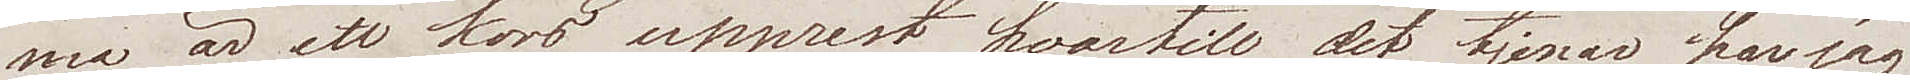ma är ett kors upprest, hvartill det tjenar har jag
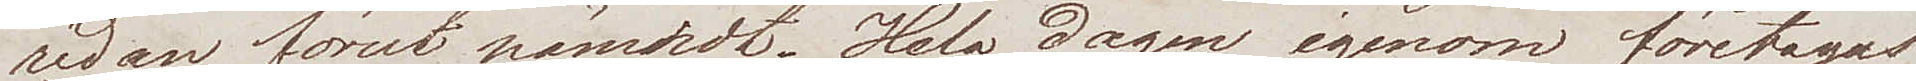redan förut nämndt. Hela dagen igenom företagas
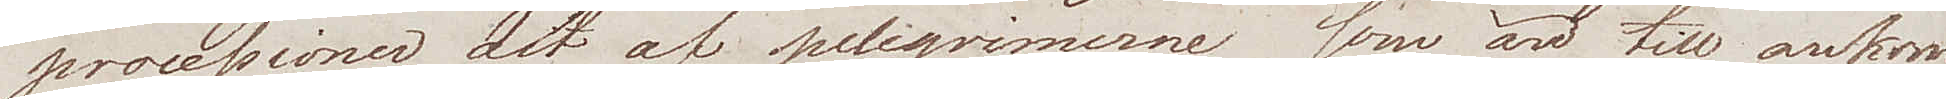processioner dit af pelegrimerne som äro hit ankom¬
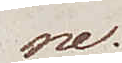ne.
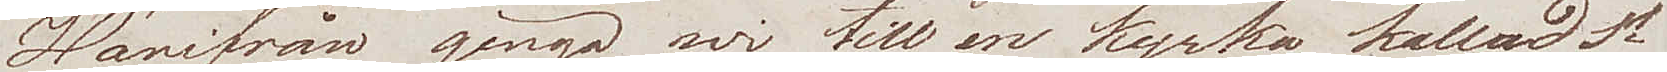Härifrån gingo wi till en kyrka kallad St
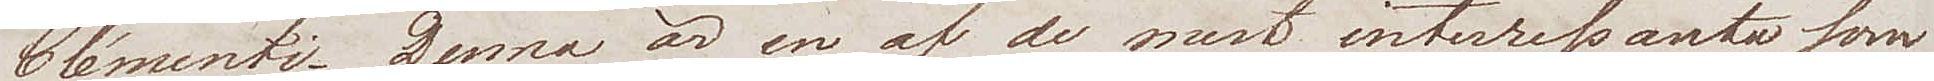Clémenti. Denna är en af de mest interessanta som
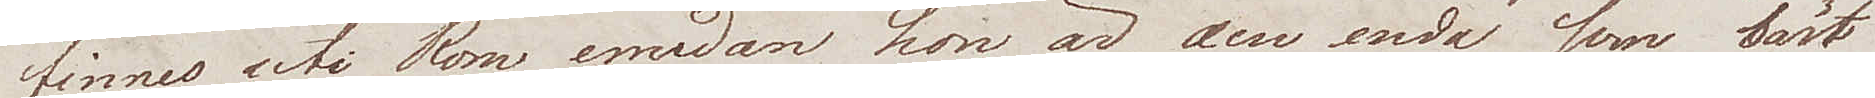finnes uti Rom, emedan hon är den enda som bäst
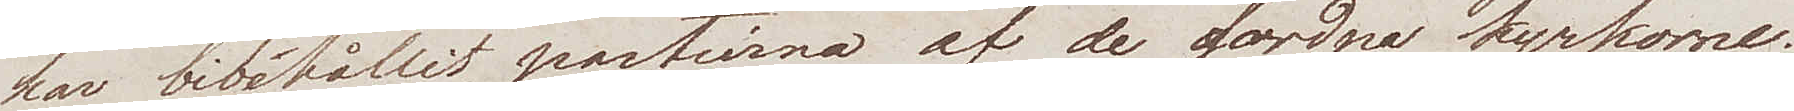har bibehållit partierna af de fordna kyrkorne.
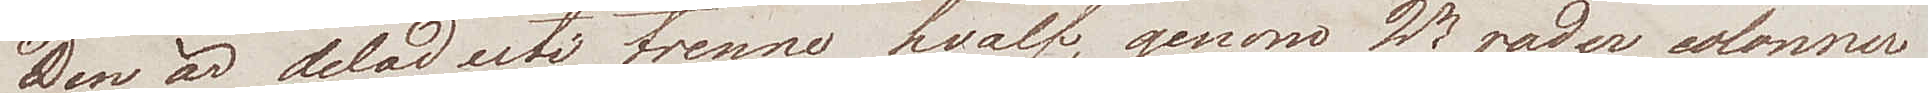Den är delad uti trenne hvalf, genom 2ne rader colonner 
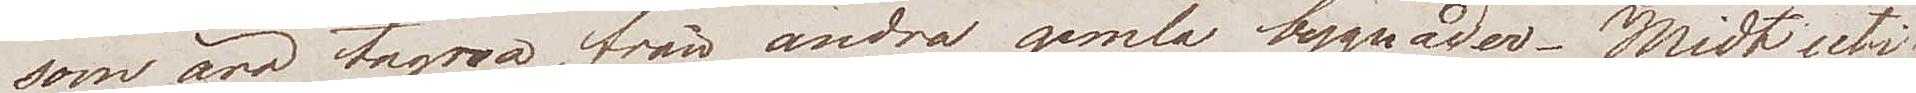som äro tagna, från andra gamla bygnader. Midt uti
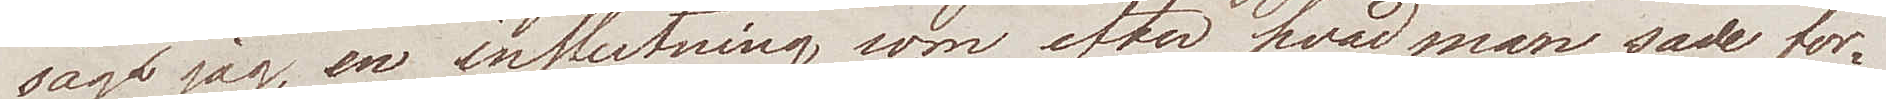såg jag, en inslutning som efter hvad man sade for¬
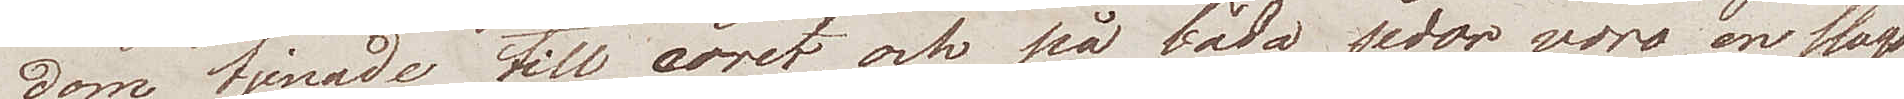dom tjenade till coret, och på båda sidor voro en slags
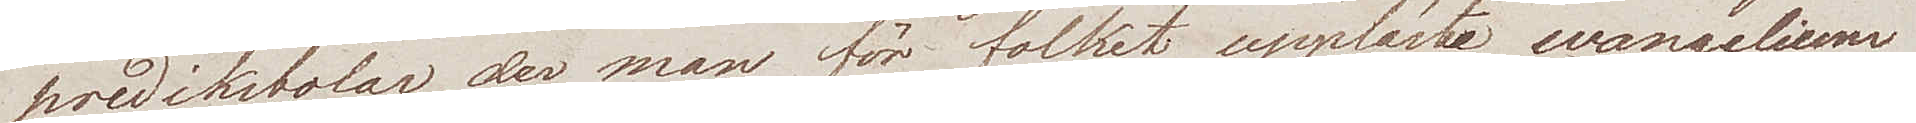predikstolar, der man för folket uppläste evangelium 
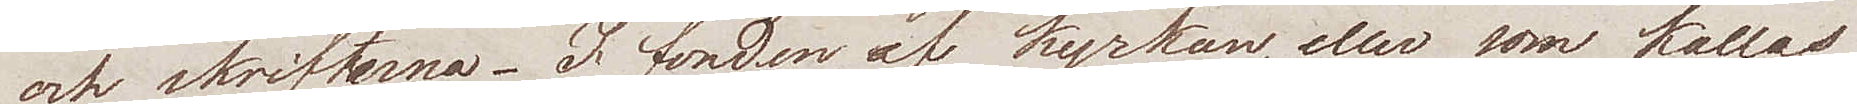och skrifterna. I fonden af kyrkan, eller som kallas
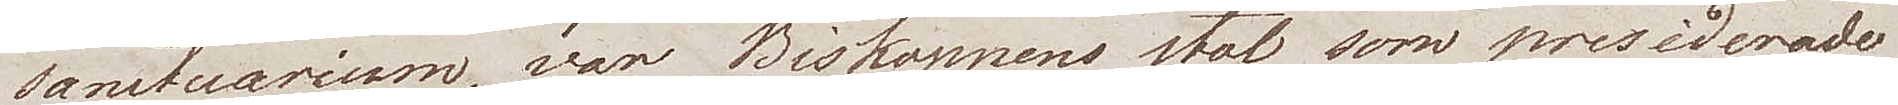sanctuarium, var Biskoppens stol, som presiderade
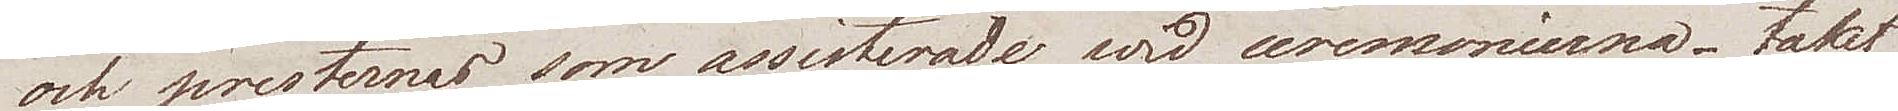och presternas som assisterade wid ceremonierna. Taket
